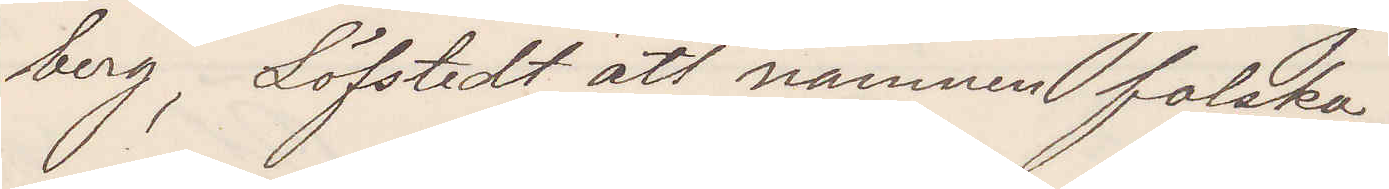berg, Löfstedt att namnen falska.
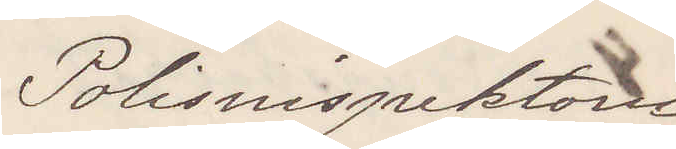Polisinspektorn
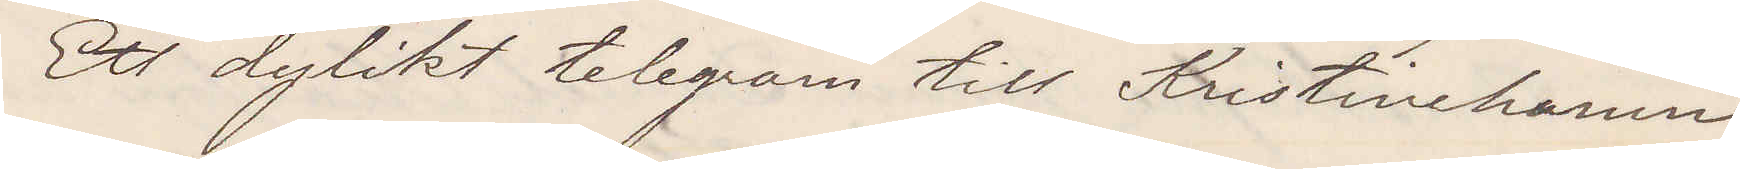Ett dylikt telegram till Kristinehamn
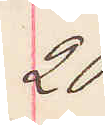20.
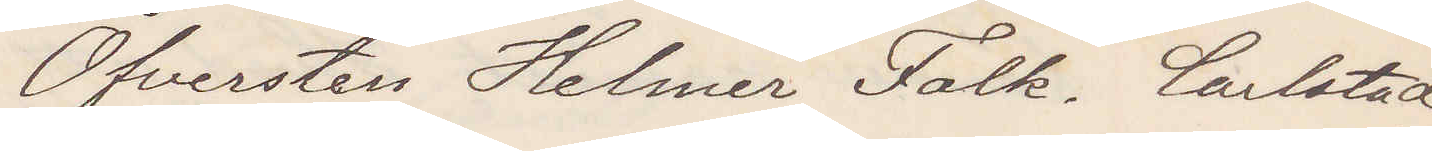Öfversten Helmer Falk, Carlstad
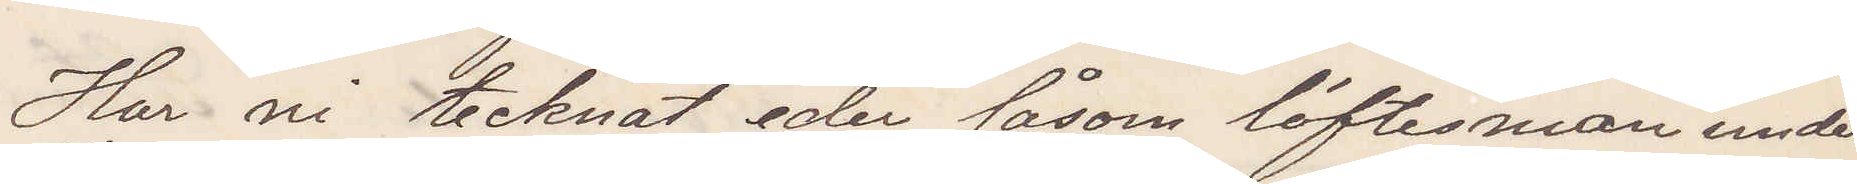Har ni tecknat eder såsom löftesman under
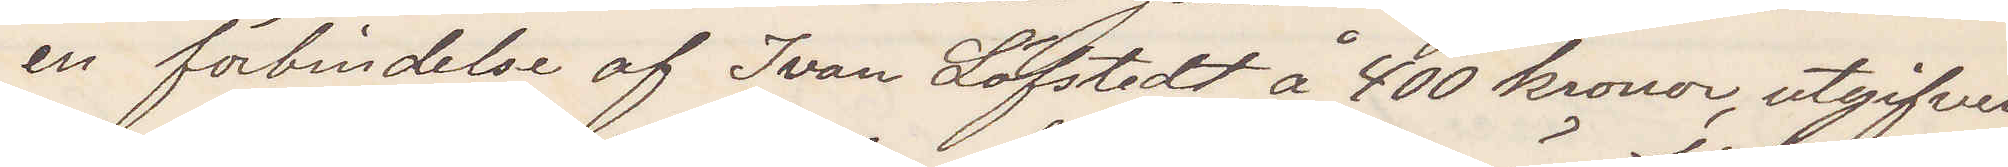en förbindelse af Ivan Löfstedt å 400 kronor, utgifven
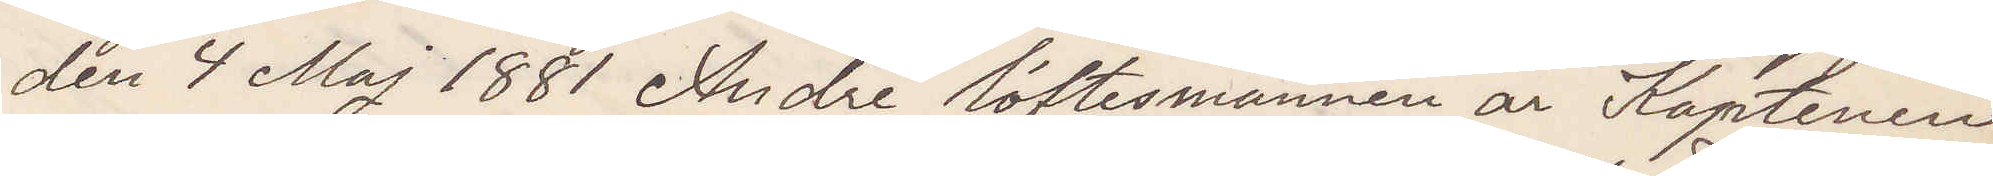den 4 Maj 1881 Andre löftesmannen är Kaptenen
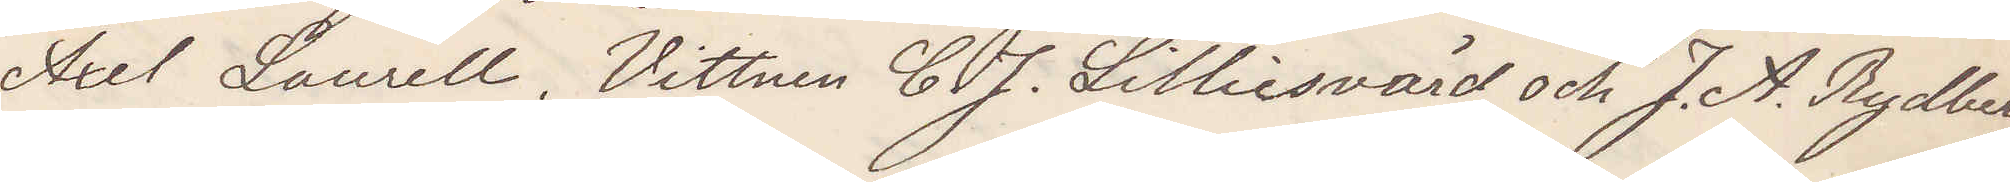Axel Laurell. Vittnen C. J. Lilliesvärd och J. A. Rydberg
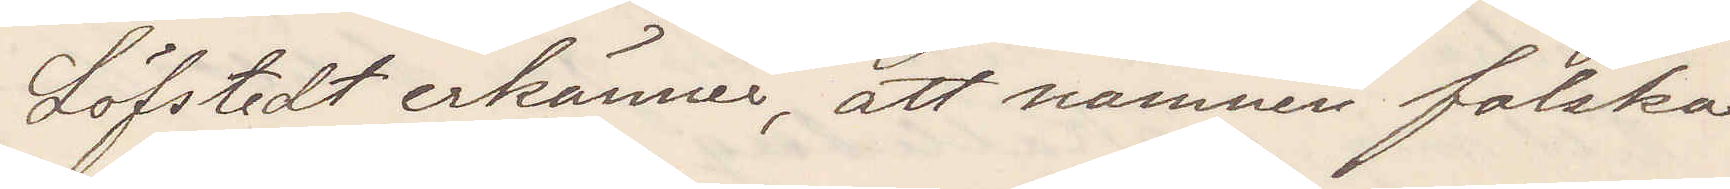Löfstedt erkänner, att namnen är falska
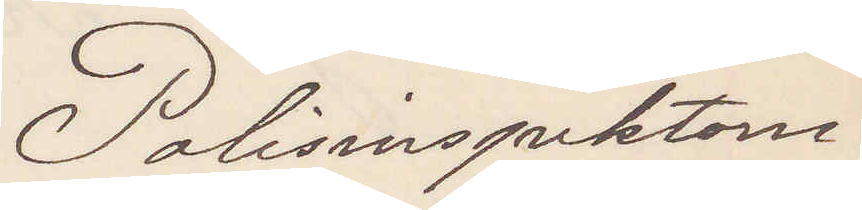Polisinspektorn.
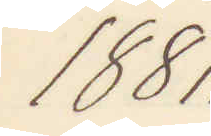1881.
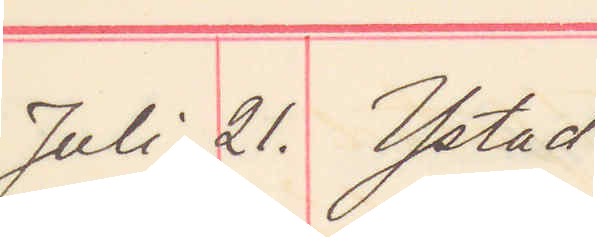Juli 21. Ystad.
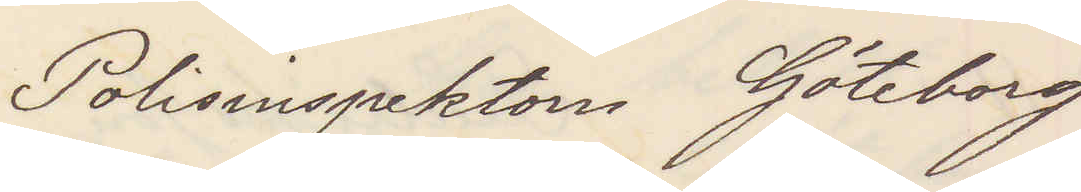Polisinspektorn Göteborg
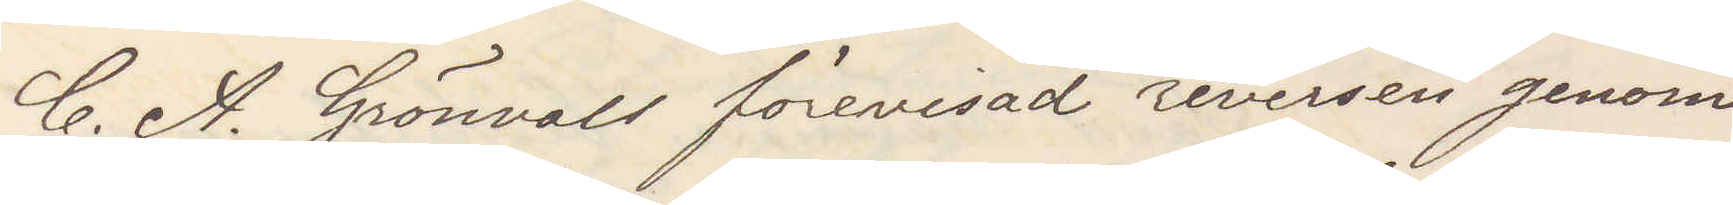C. A. Grönvall förevisad reversen genom
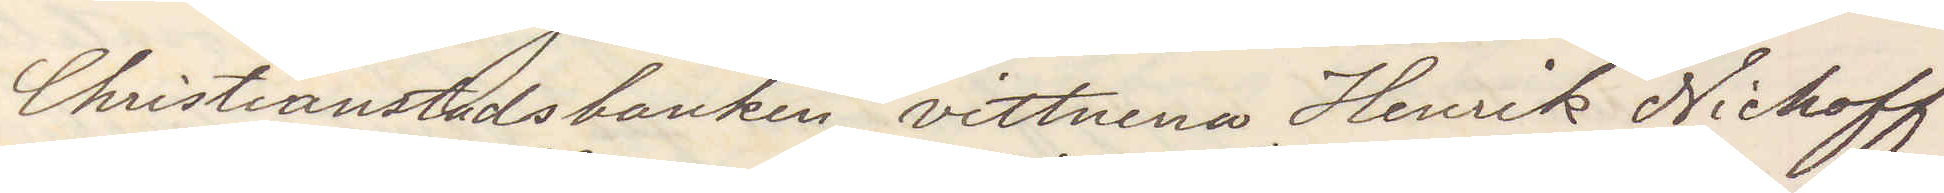Christianstadsbanken, vittnena Henrik Nichoff
